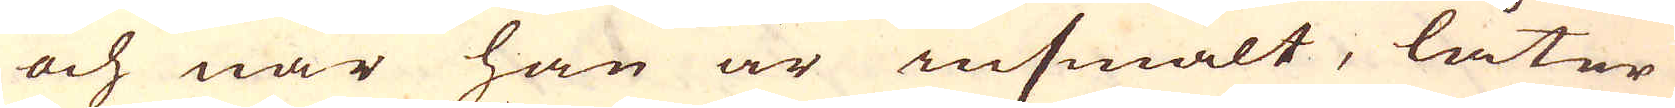och när han är insmält, låter
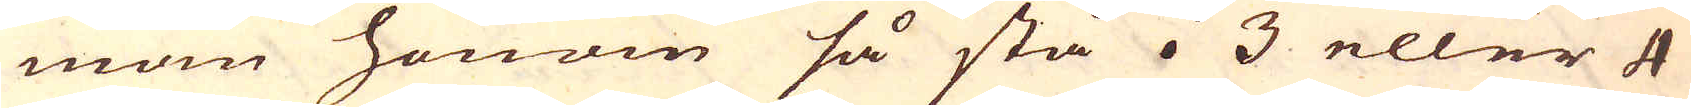mam honom så stå i 3 eller 4
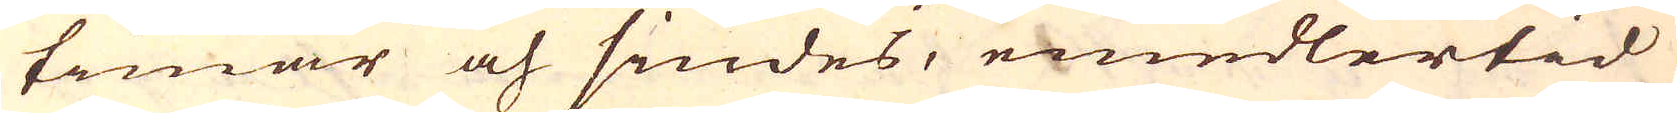timar och siudes, emedlertid
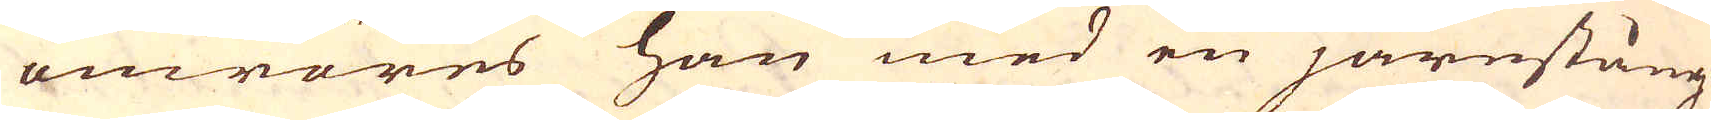omröres han med en järnstång
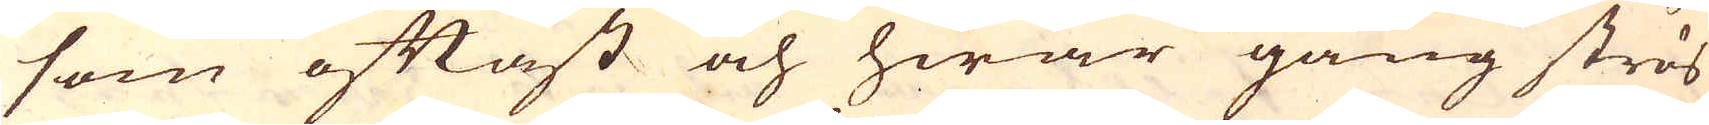som oftast och hwar gång strös
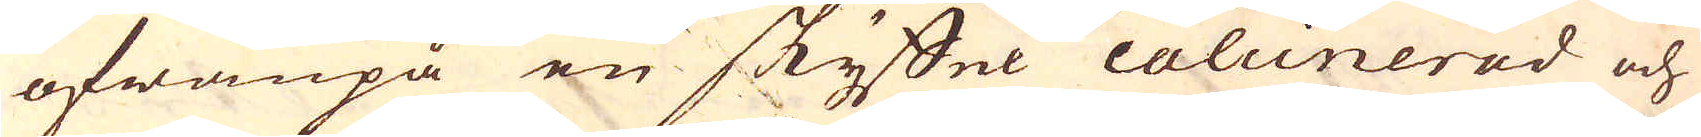ofwanpå en skyffel calcinerad och
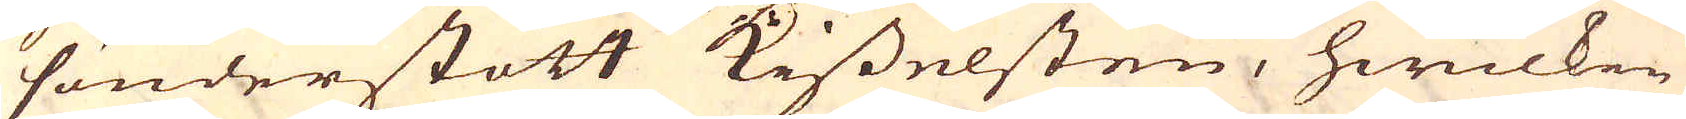sönderstött kisselsten, hwilken
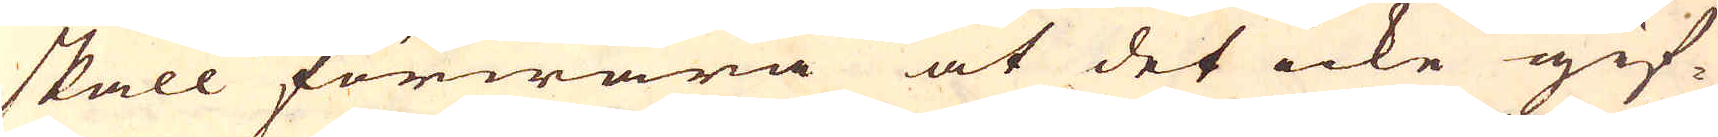skall förwara at det icke gif-
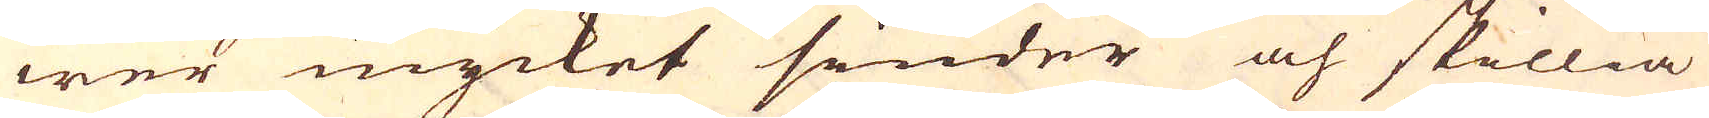wer mycket sinder och skillia
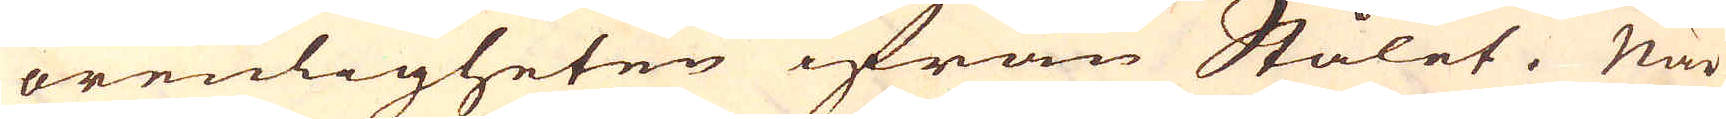orenligheten ifrån Stålet. När
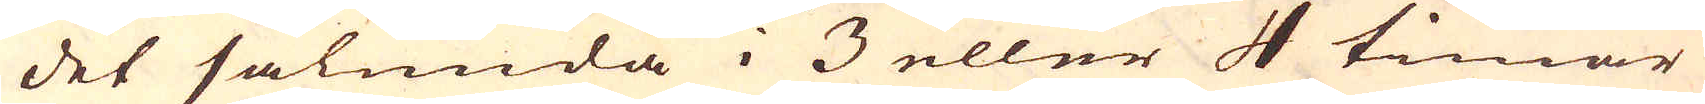det sålunda i 3 eller 4 timar
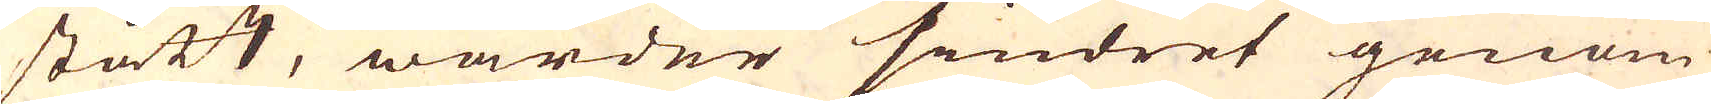stått, warder sindret genom
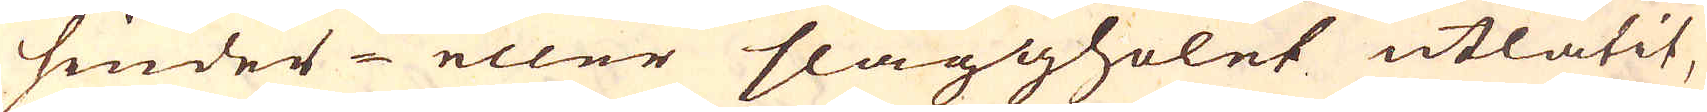sinder- eller slaggholet utlåtit,
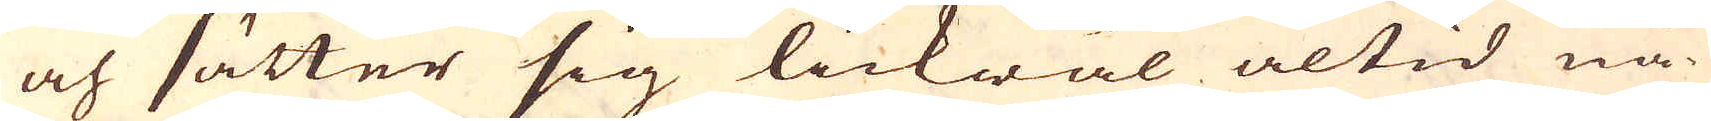och sätter sig lickwäl altid nå-
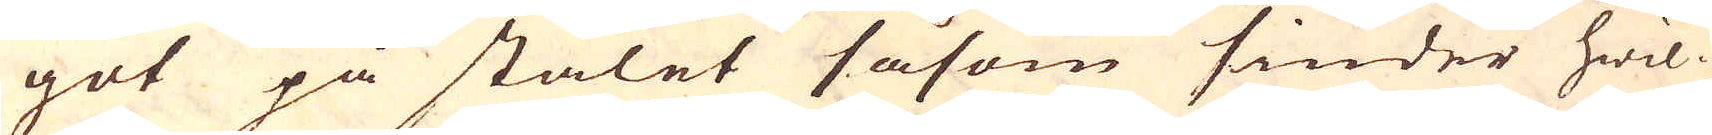got på stålet såsom sinder hwil-
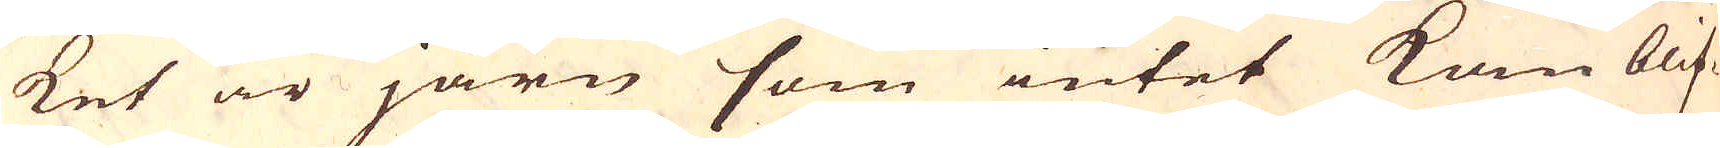ket är järn som intet kan blif-
